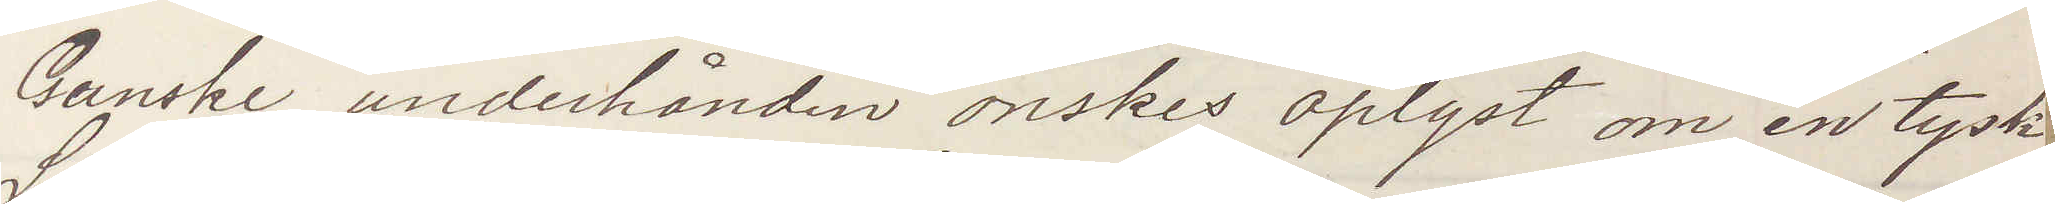Ganske underhånden önskes oplyst om en tysk
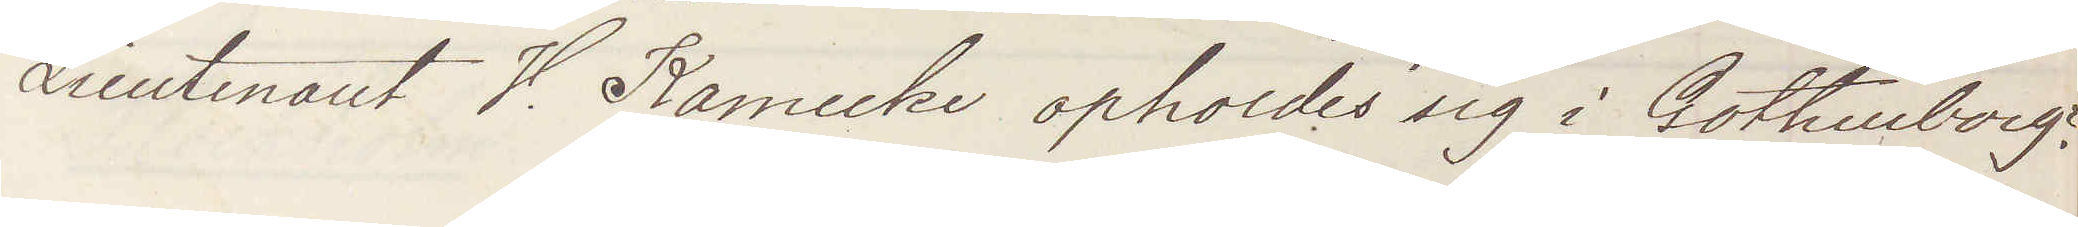Lieutenant V. Kamecke opholdes sig i Gothenborg?
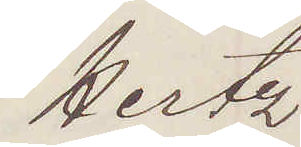Hertz
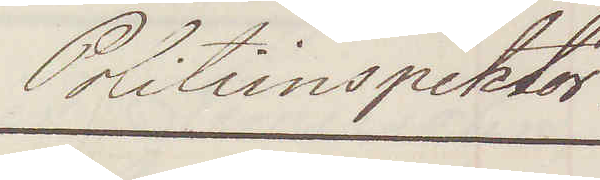Politiinspektor
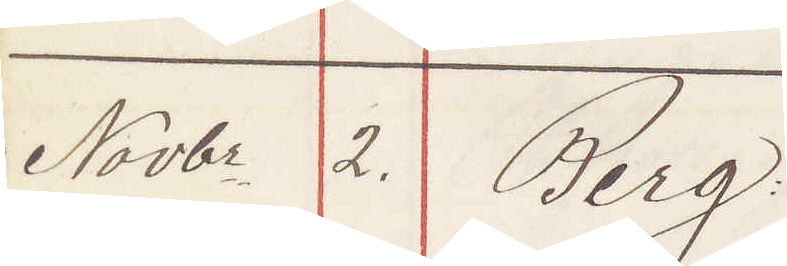Novbr 2. Berg:
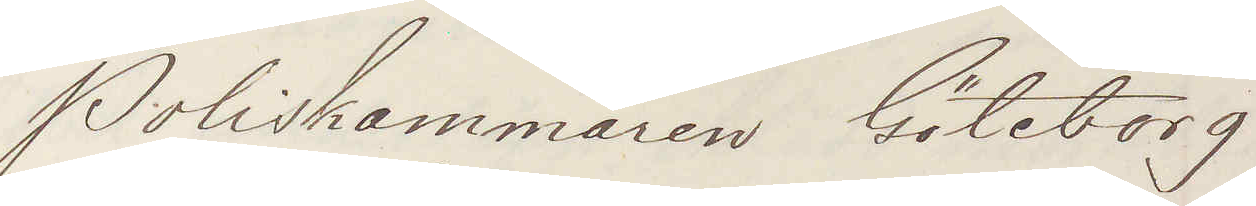Poliskammaren Göteborg
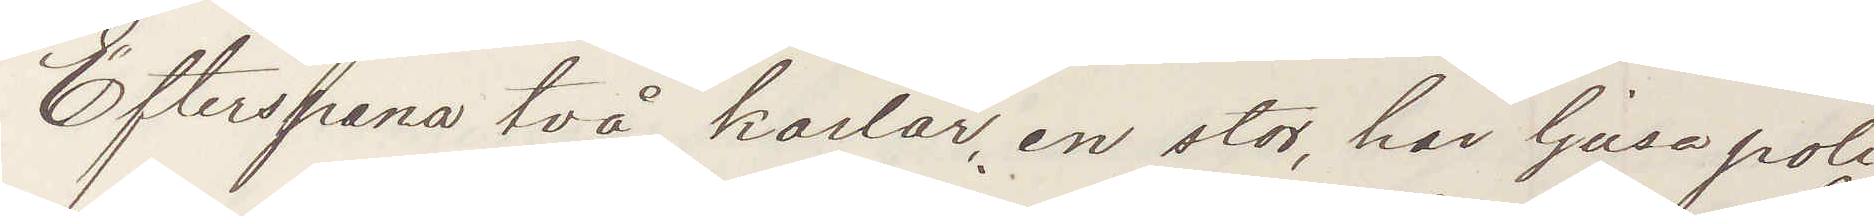Efterspana två karlar, en stor, har ljusa poli¬
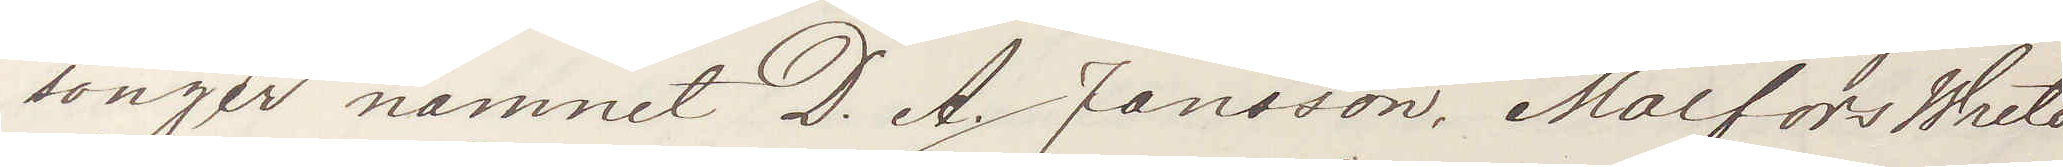songer namnet D. A. Jansson, Malfors Wreta
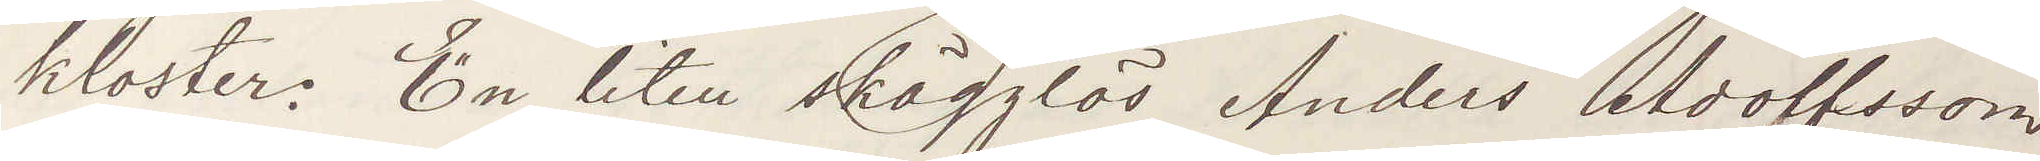kloster. En liten skägglös Anders Adolfsson
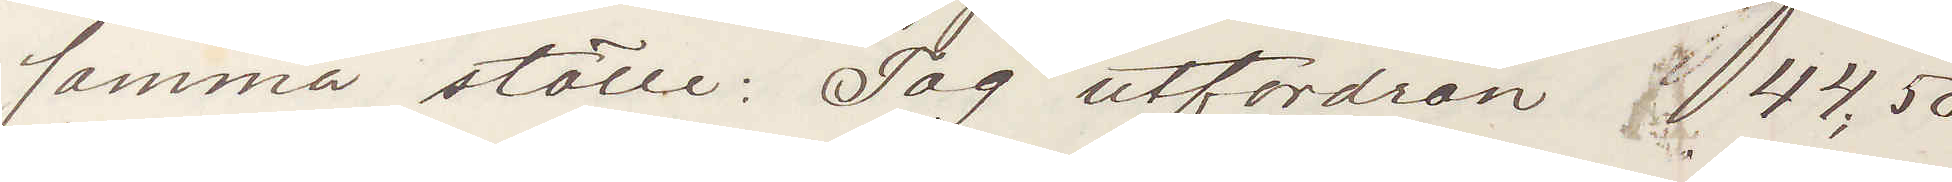samma ställe: Tag utfordran 44,50
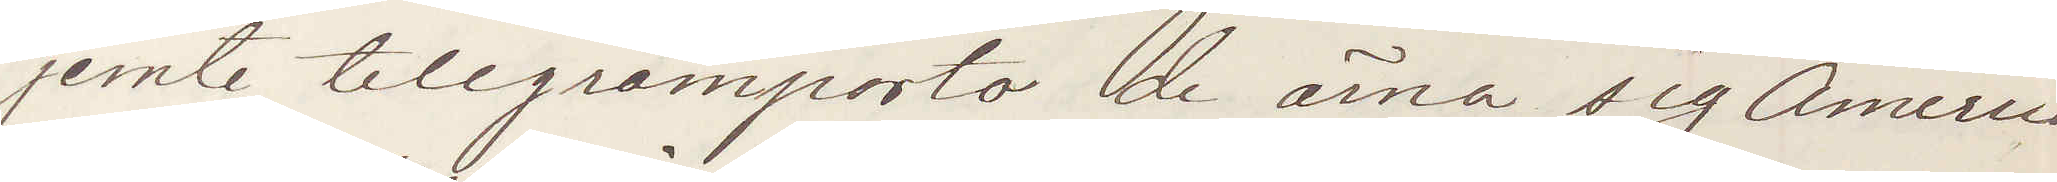jemte telegramporto de ärna sig America
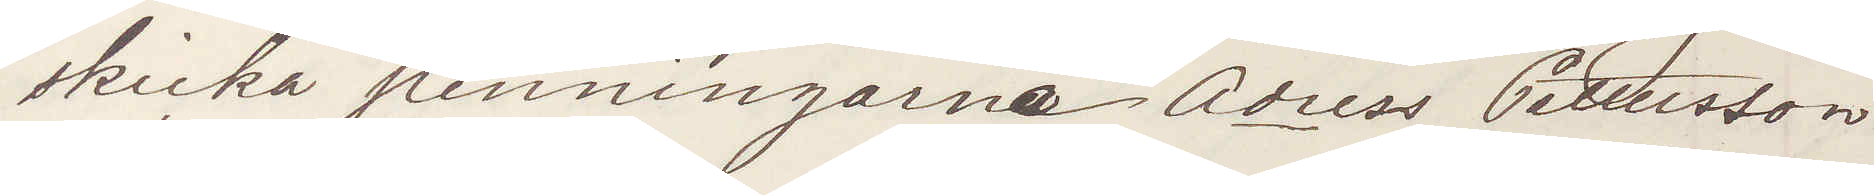skicka penningarne Adress Pettersson
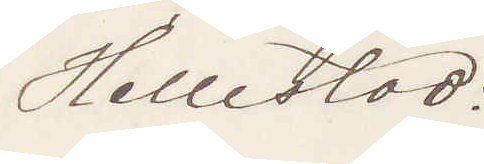Hellestad:
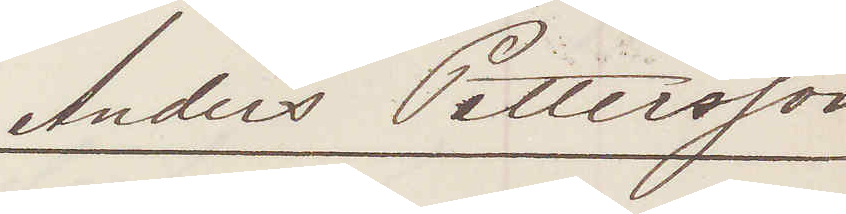Anders Pettersson
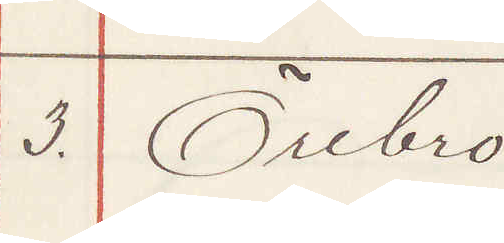3. Örebro:
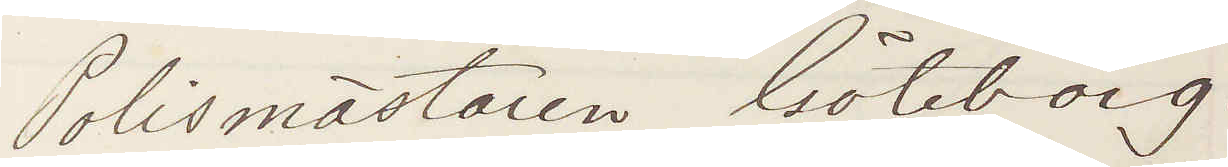Polismästaren Göteborg.
